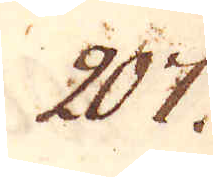207.
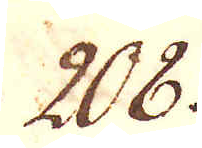208.
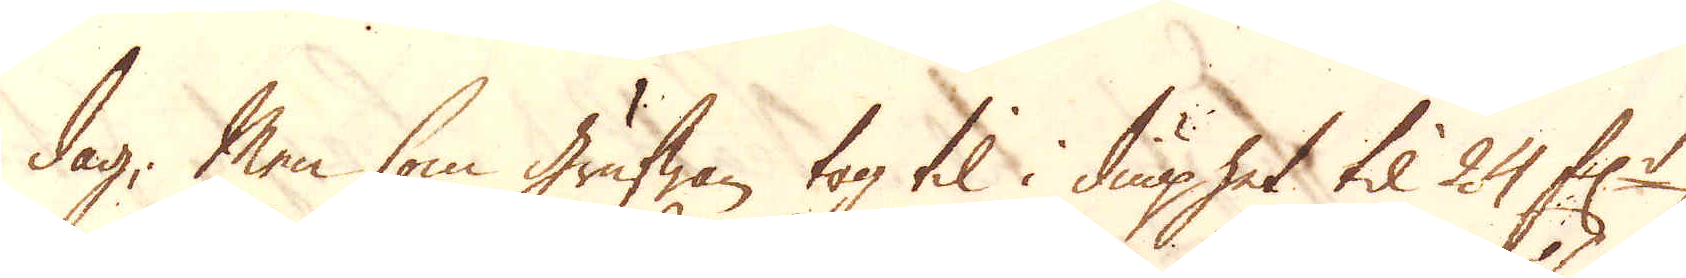dag; Men som grufwan tog til i diuphet til 24 f:r
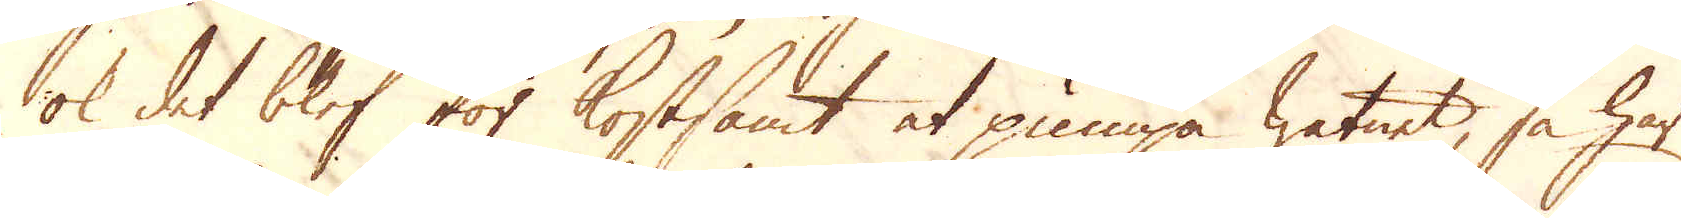ok det blef för kostsamt at pumpa watnet, så har
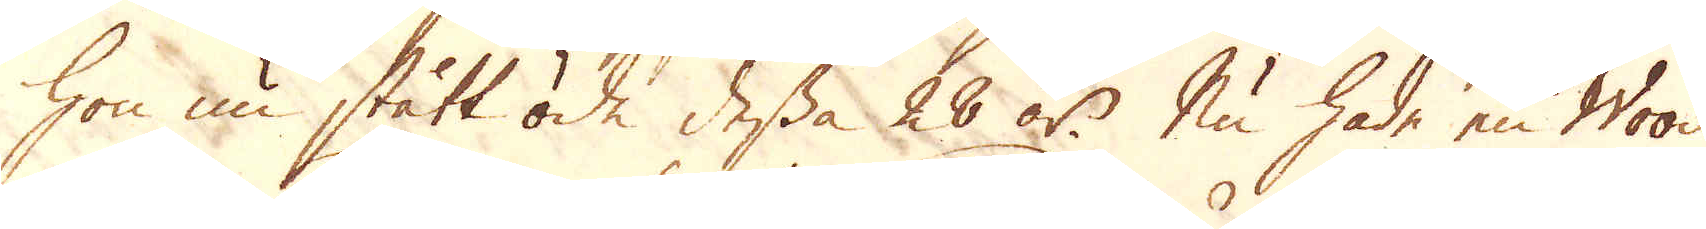hon nu stått öde dessa 28 år. Nu hade en Wood
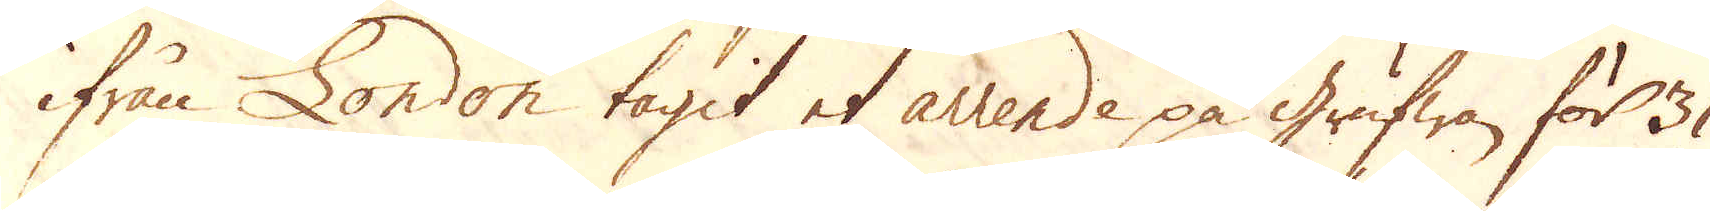ifrån London tagit et arrende på grufwan för 31
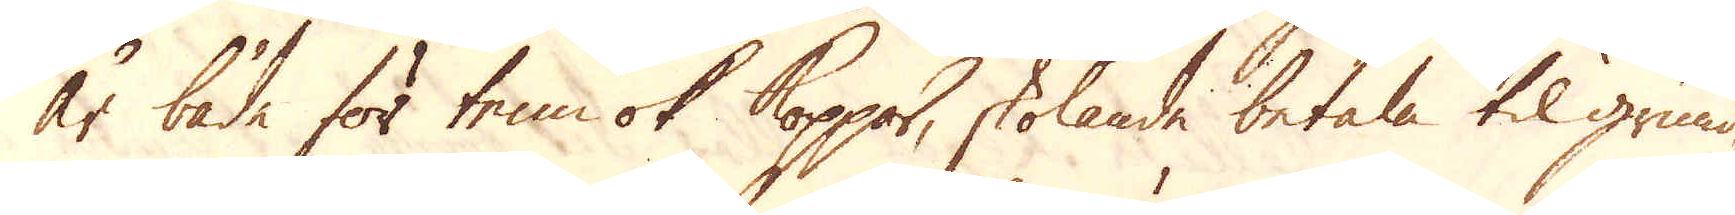år både för tenn ok Koppar, skolande betala til grund,
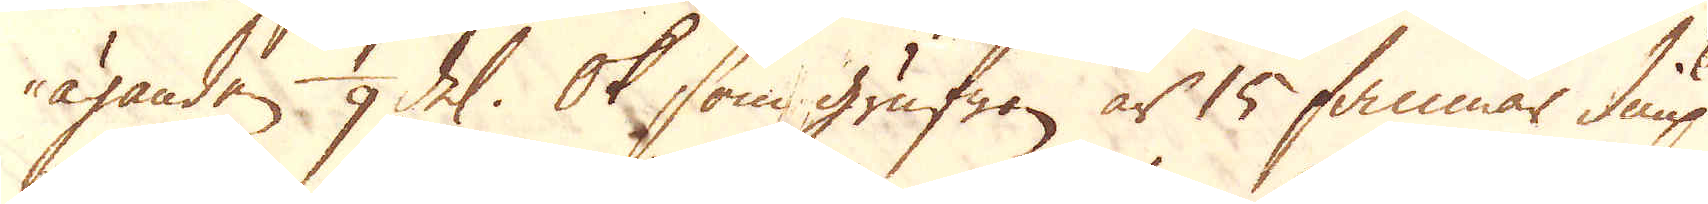äganden 1/9 del. Ok som grufwan är 15 famnar diup
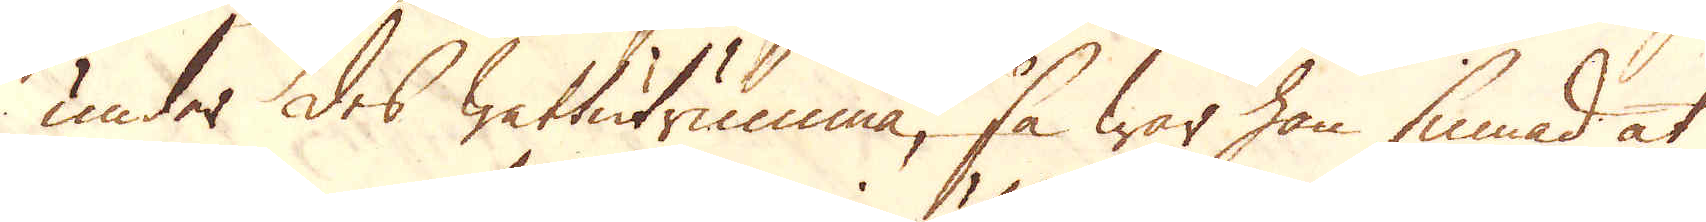under des wattutrumma, så war han sinnad at
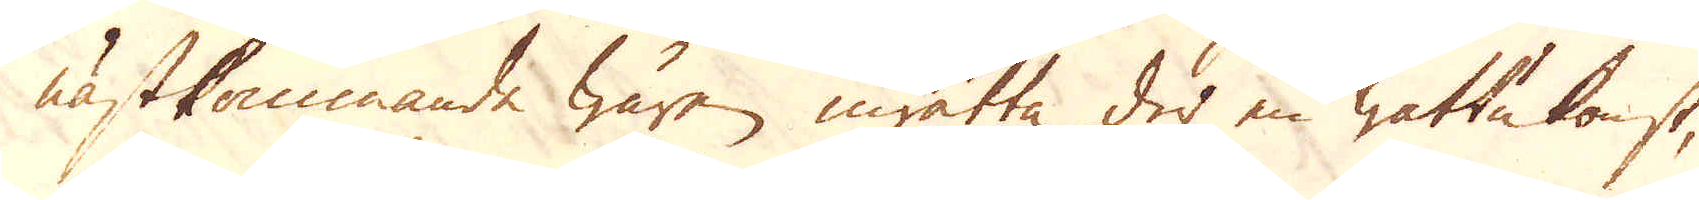nästkommande wåren inrätta der en wattukonst,
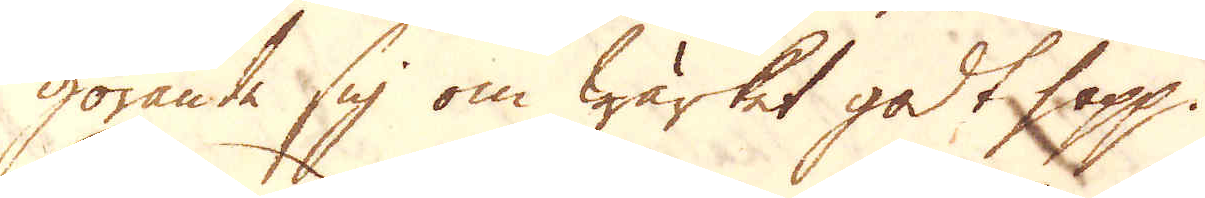görande sig om Wärket godt hopp.
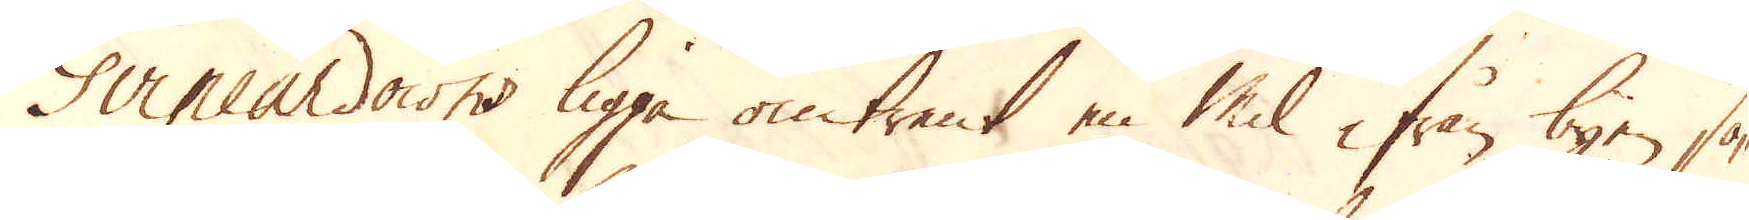Gvineurdowns ligga omtrent en Mil ifrån byen sö-
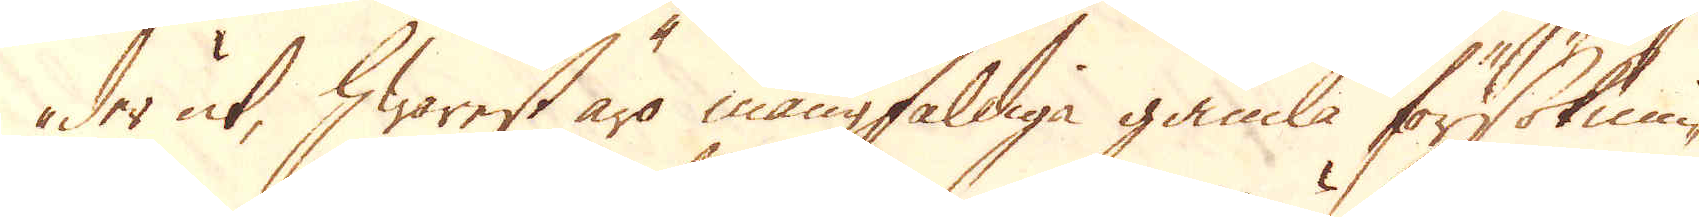der ut, hwarest äro mångfaldiga gamla försöknin-
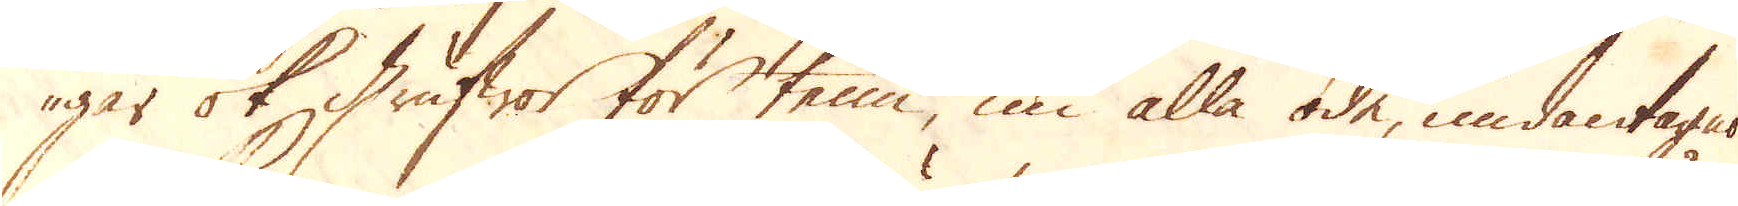gar ok grufwor för tenn, nu alla öde, undantages
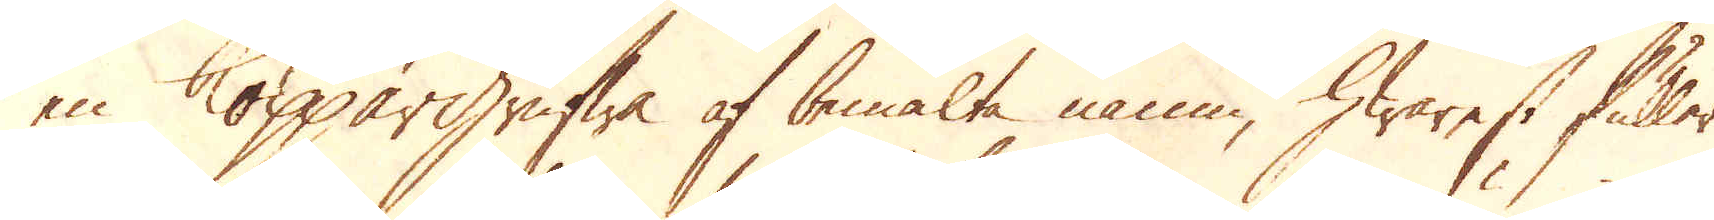en Koppargrufwa af bemälte namn, hwarest fuller
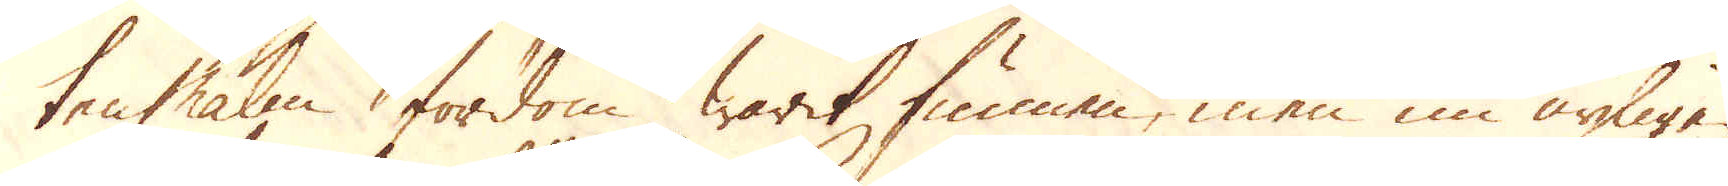tenmalm fordom warit funnen, men nu nyligen
